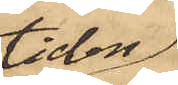tiden
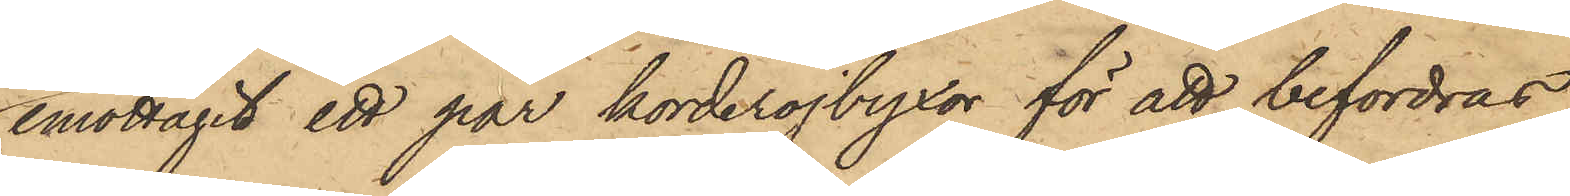emottagit ett par korderojbyxor för att befordras
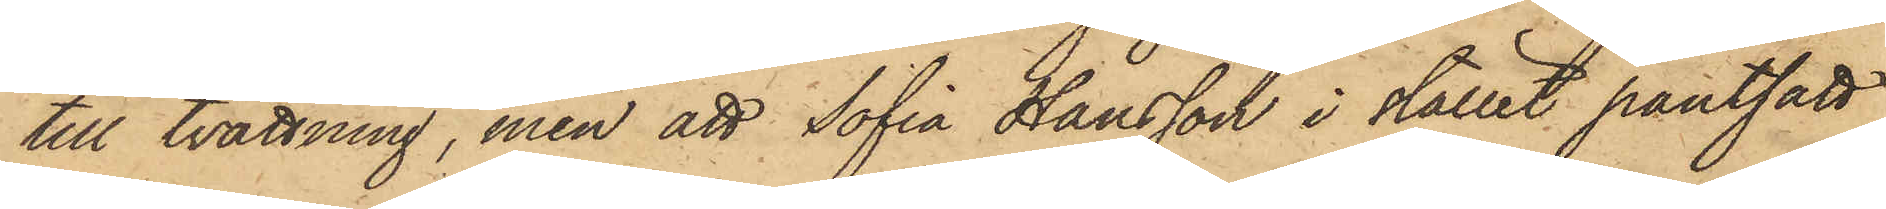till tvättning, men att Sofia Hansson i stället pantsatt
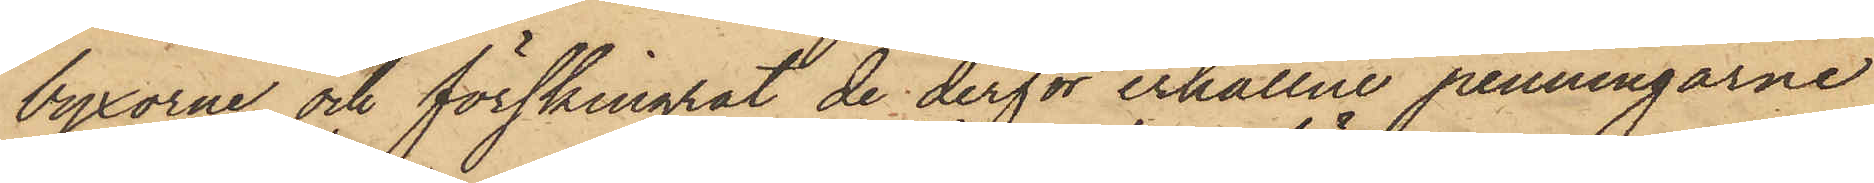byxorna och förskingrat de derför erhållne penningarne
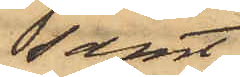samt
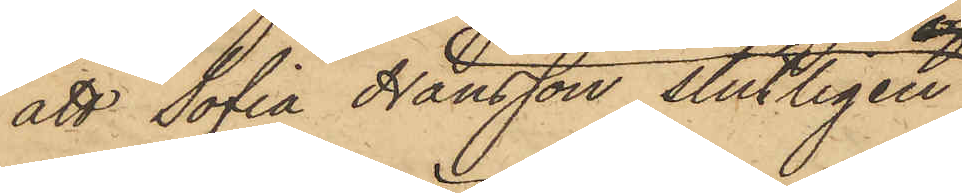att Sofia Hansson slutligen
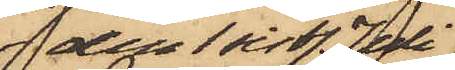den 1 sistl. Juli
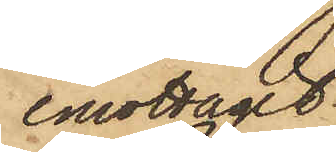emottagit
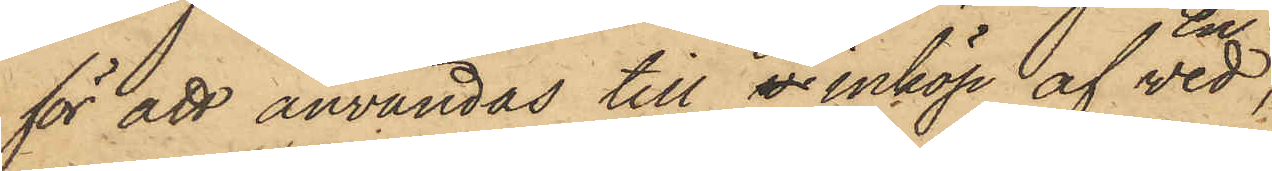för att användas till ve inköp af ved
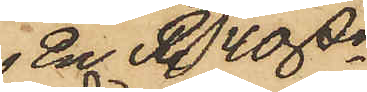En R. 40 skr
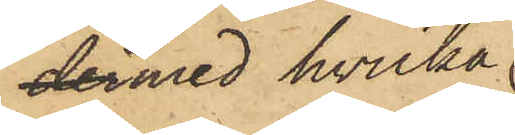dermed hvilka
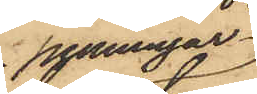penningar
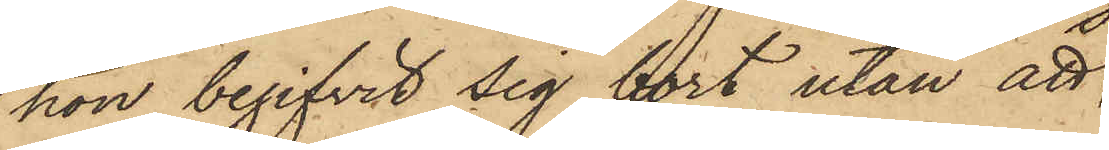hon begifvit sig bort utan att
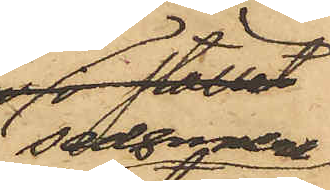sednare
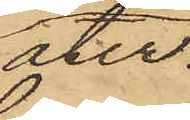åter¬
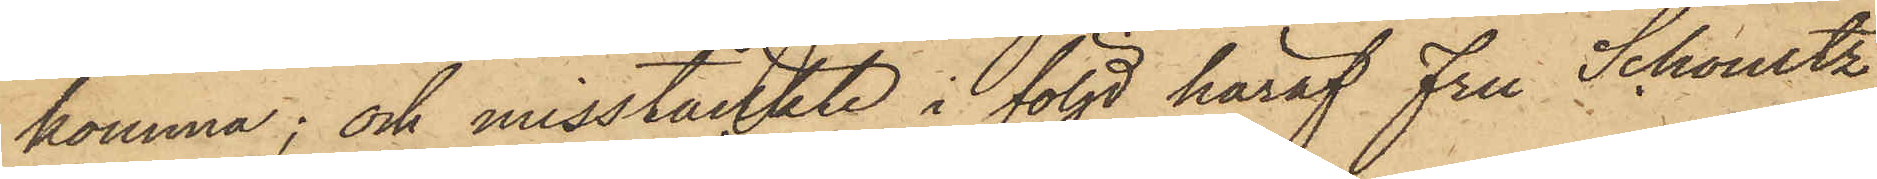komma; och misstänkte i följd häraf Fru Schoultz,
